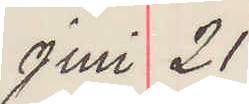Juni 21
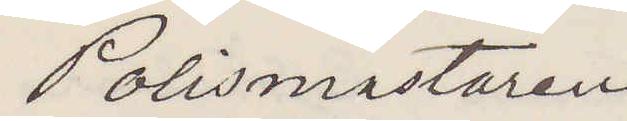Polismästaren
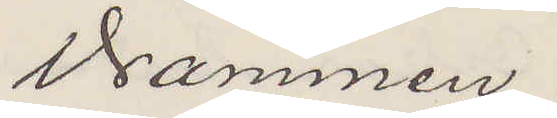Drammen.
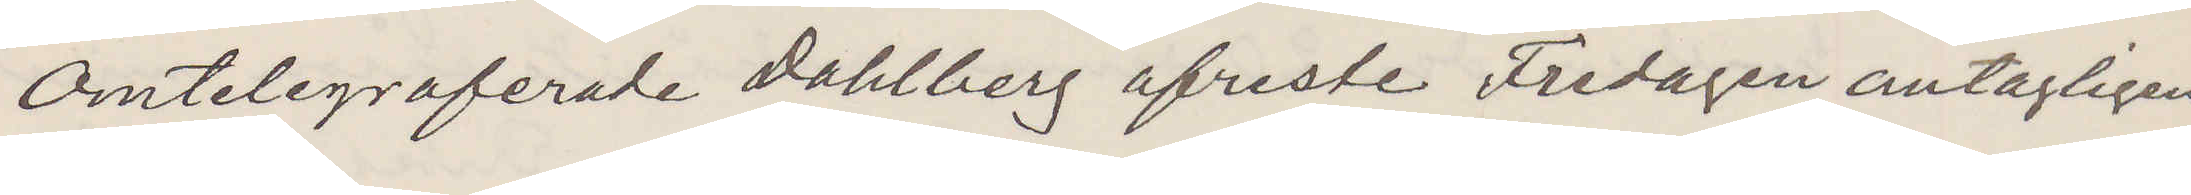Omtelegraferade Dahlberg afreste Fredagen antagligen
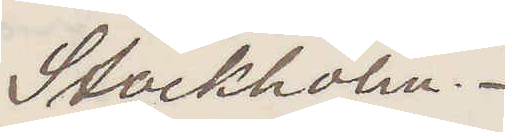Stockholm.
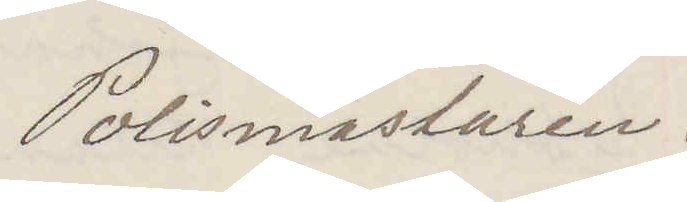Polismästaren.
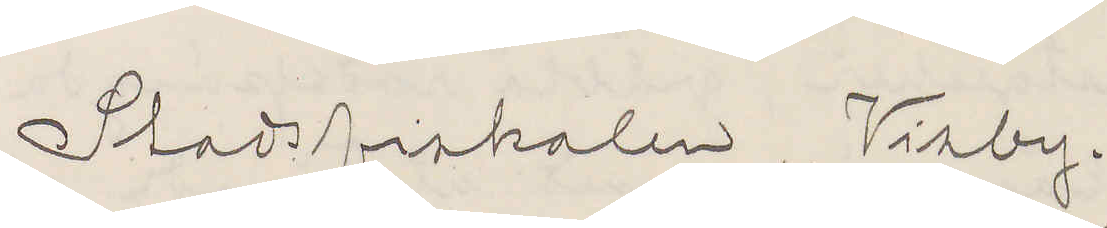Stadsfiskalen, Visby.
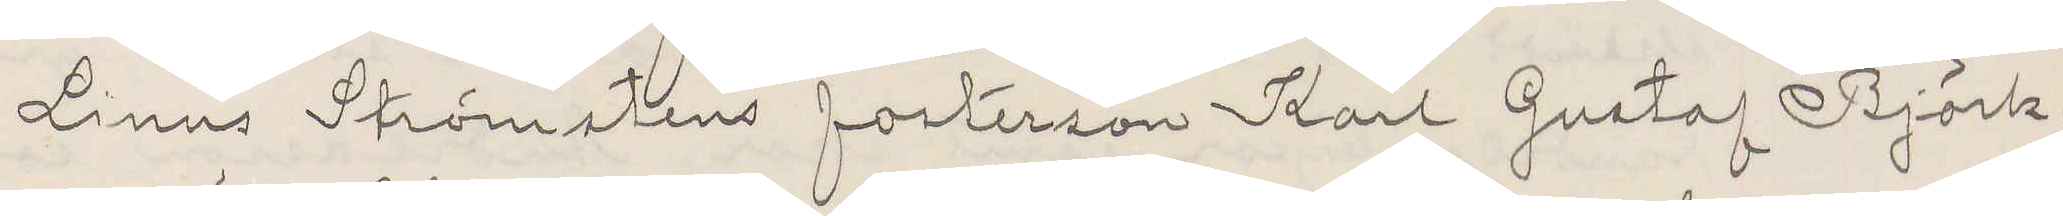Linus Strömstens fosterson Karl Gustaf Björk¬
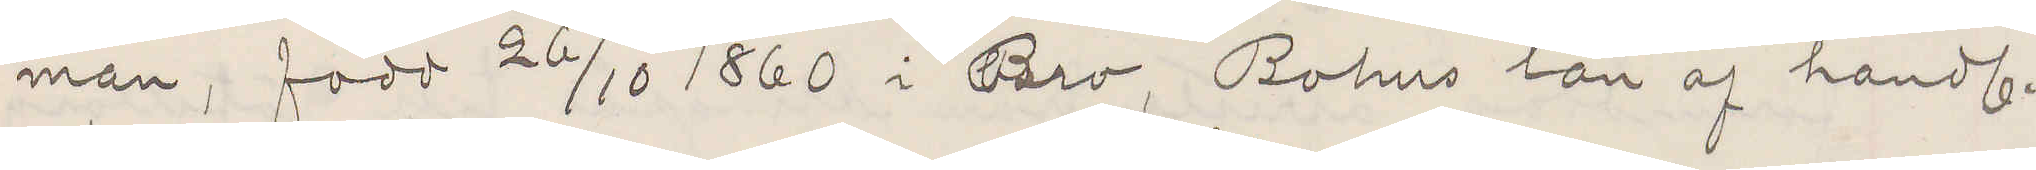man, född 26/10 1860 i Bro, Bohus län af handl.
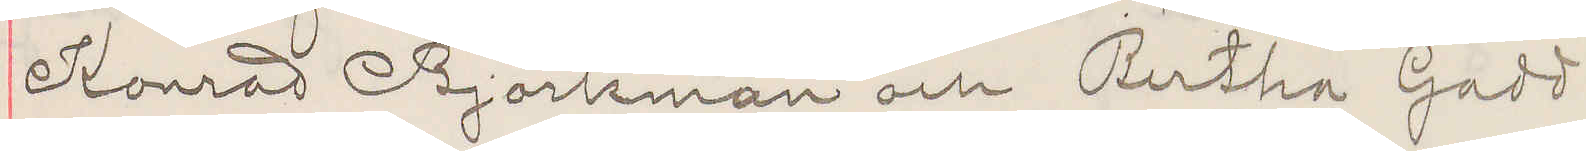Konrad Björkman och Bertha Gadd
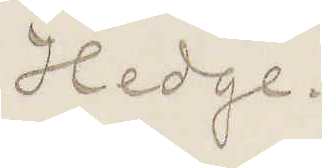Hedge.
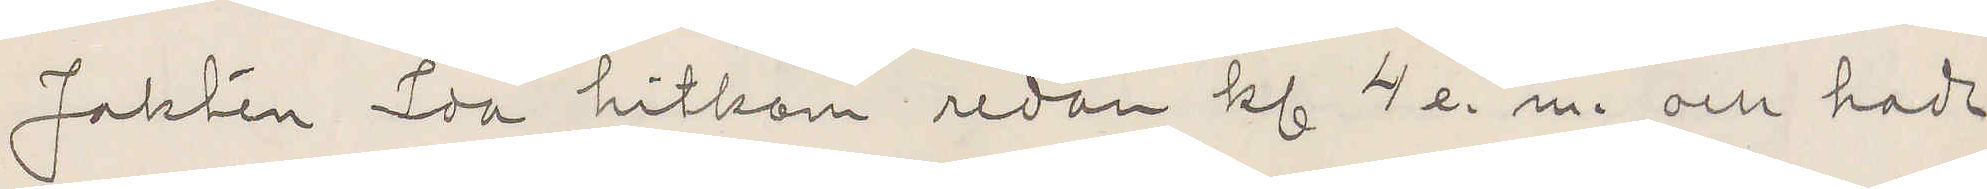Jakten Ida hitkom redan kl 4 e. m. och hade
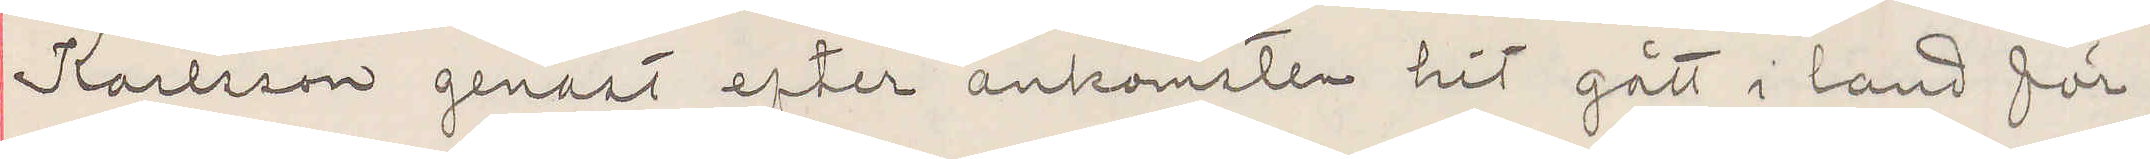Karlsson genast efter ankomsten hit gått i land för
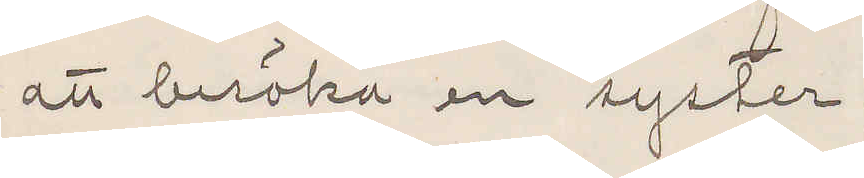att besöka en syster.
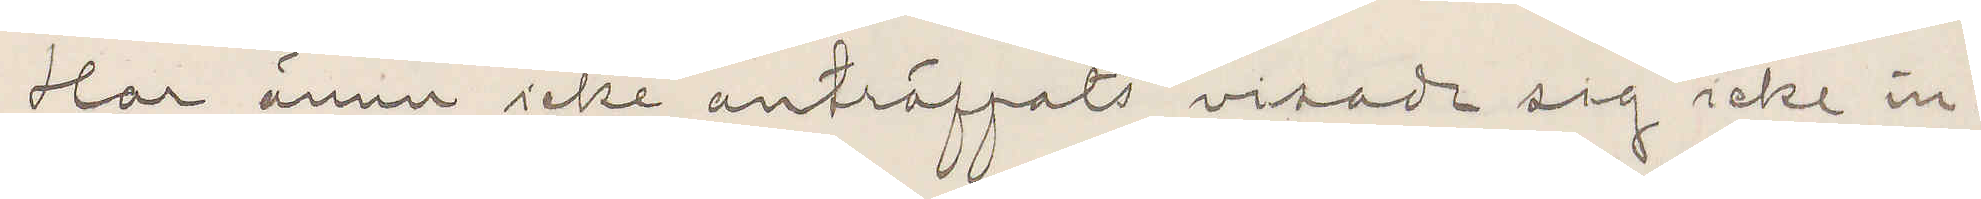Har ännu icke anträffats vidade sig icke in¬
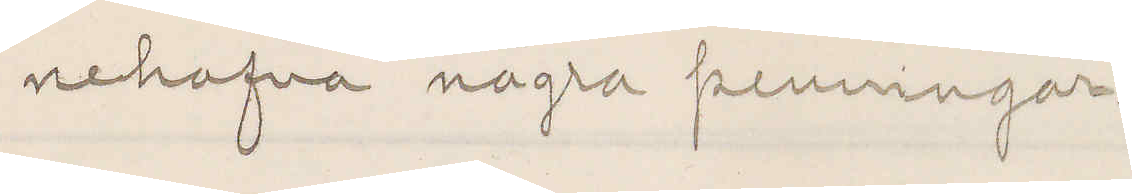nehafva några penningar.
